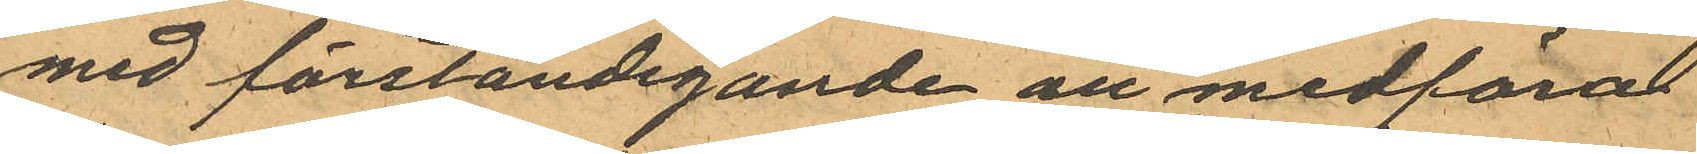med förständigande att medföra
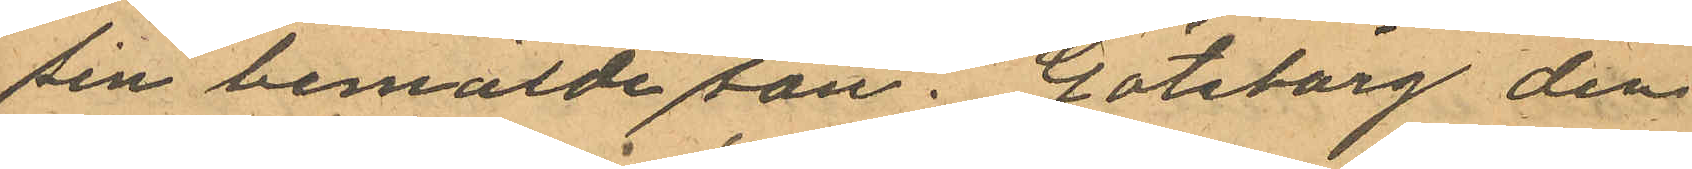sin bemälde son. Göteborg den
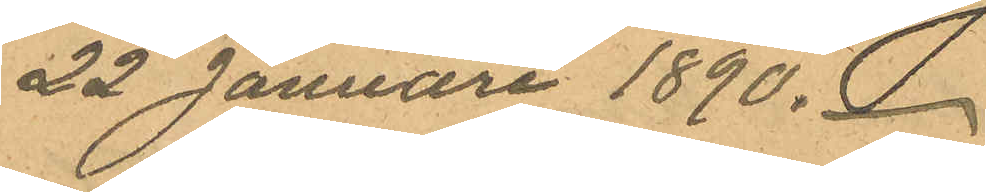22 Januari 1890.
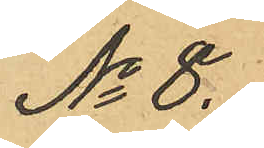No 8.
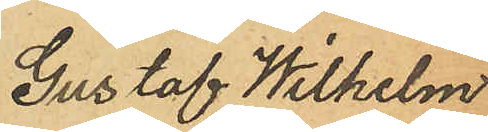Gustaf Wilhelm
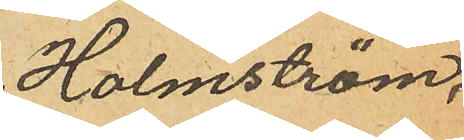Holmström,
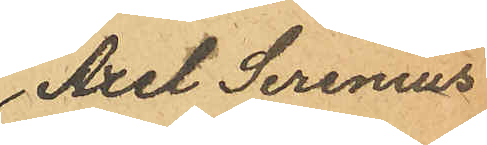Axel Serenius
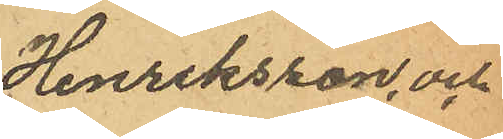Henriksson, och
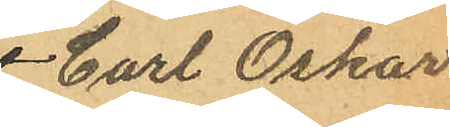Carl Oskar
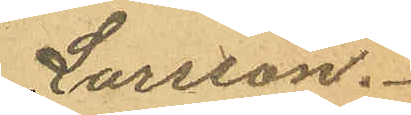Larsson.
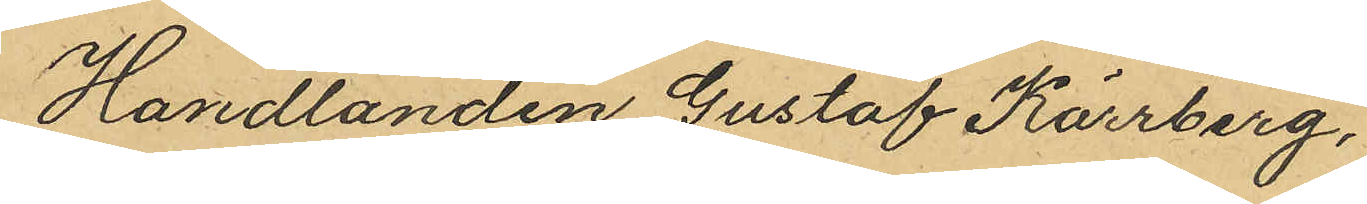Handlanden Gustaf Kärrberg,
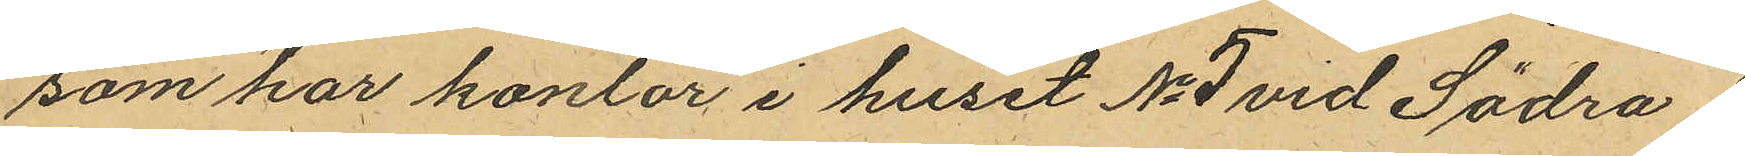som har kontor i huset No 5 vid Södra
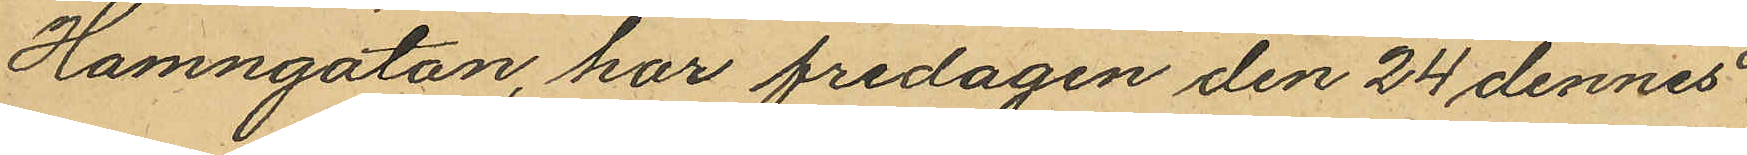Hamngatan, har fredagen den 24 dennes
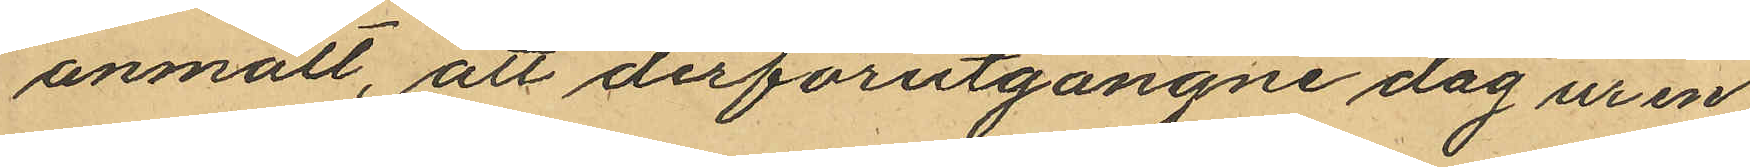anmält, att derförutgångne dag ur en
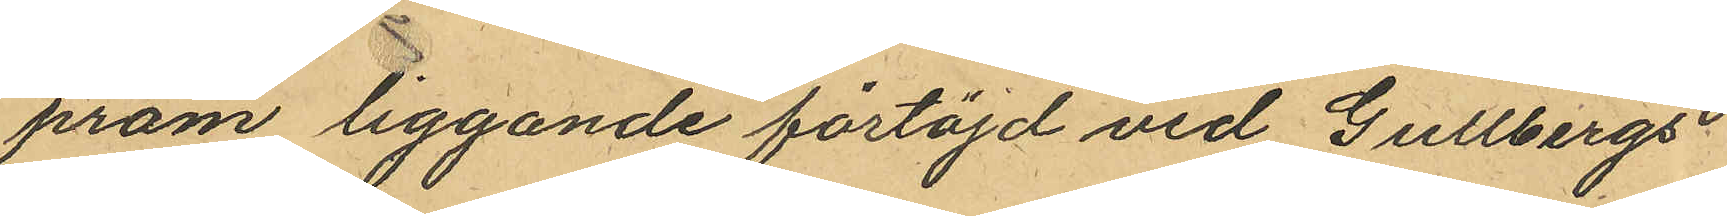pråm liggande förtöjd vid Gullbergs
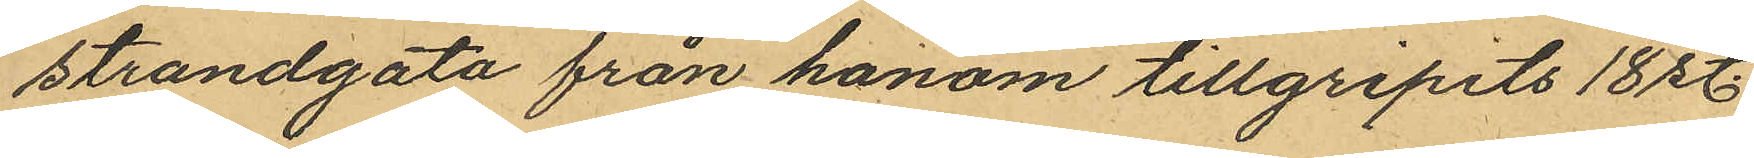strandgata från honom tillgripits 18 st.
